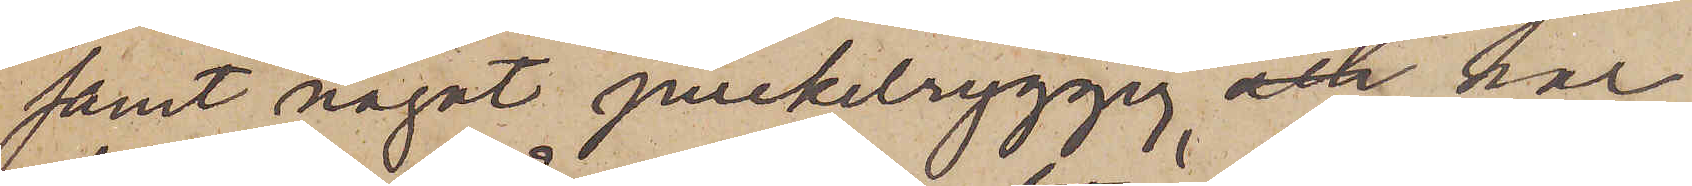samt något puckelryggig, och har
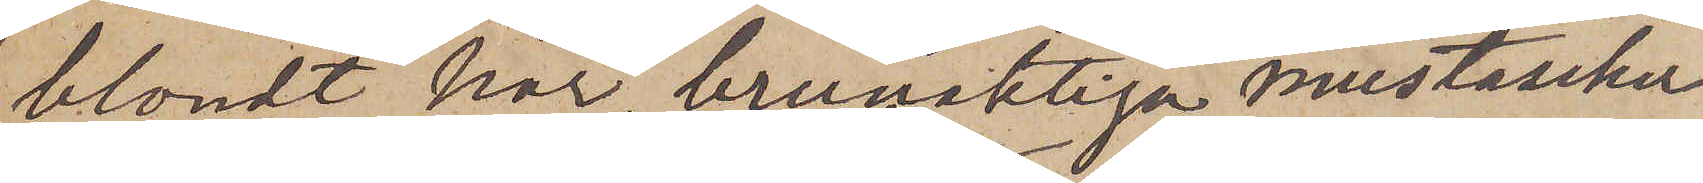blondt hår, brunaktiga mustascher
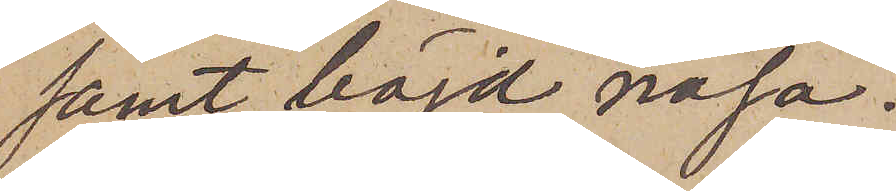samt böjd näsa.
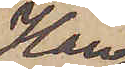Han
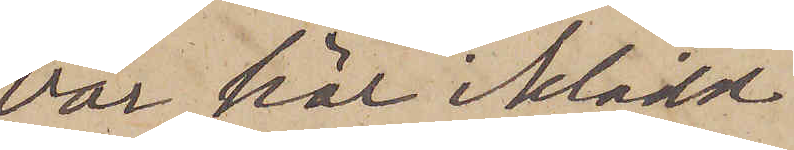var här iklädd
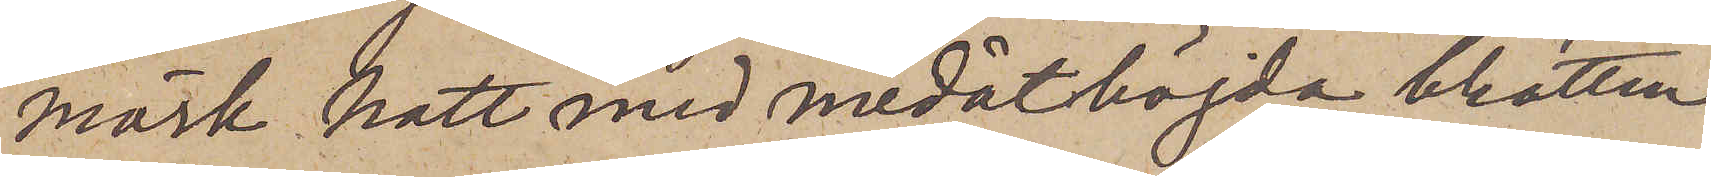mörk hatt med nedåtböjda brätten
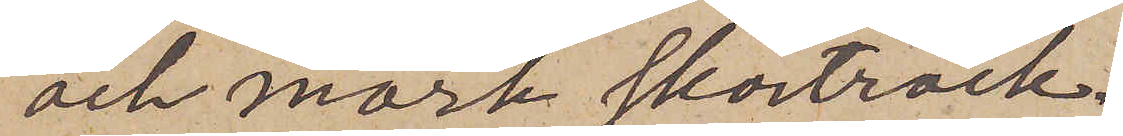och mörk skörtrock.
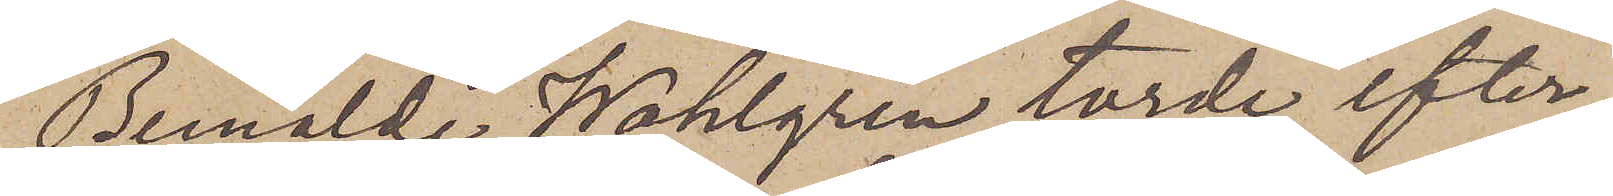Bemälde Wahlgren torde efter¬
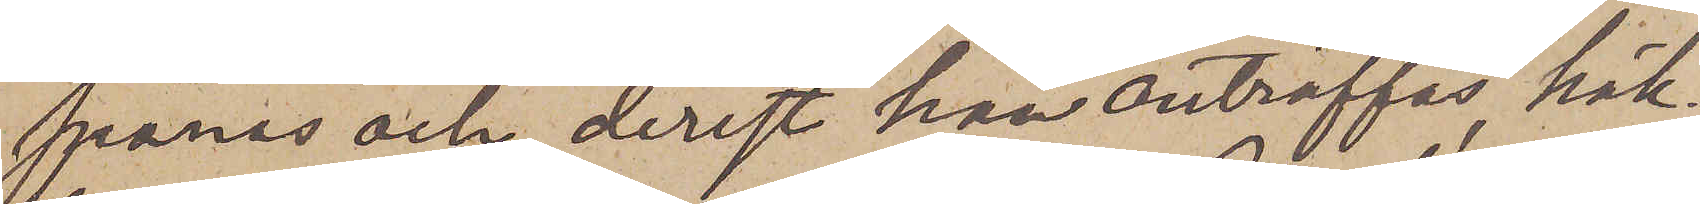spanas och, derest han anträffas, häk¬
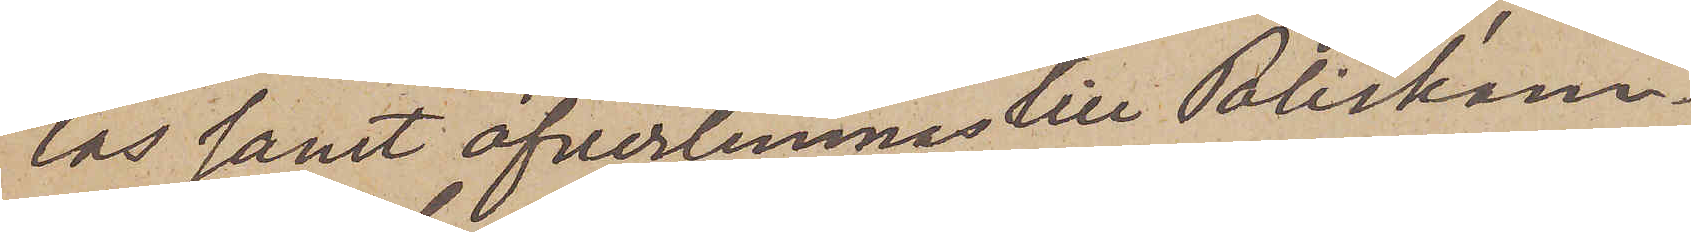tas samt öfverlemnas till Poliskam¬
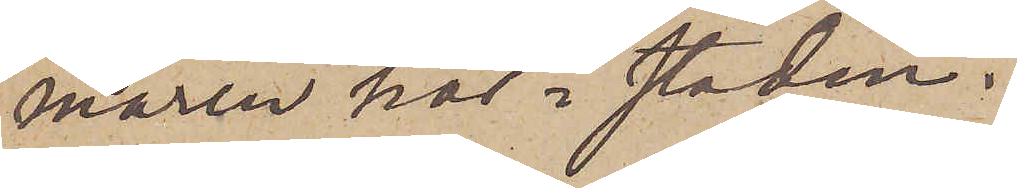maren här i staden.
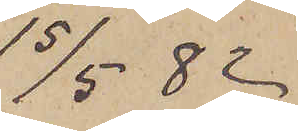15/5  82
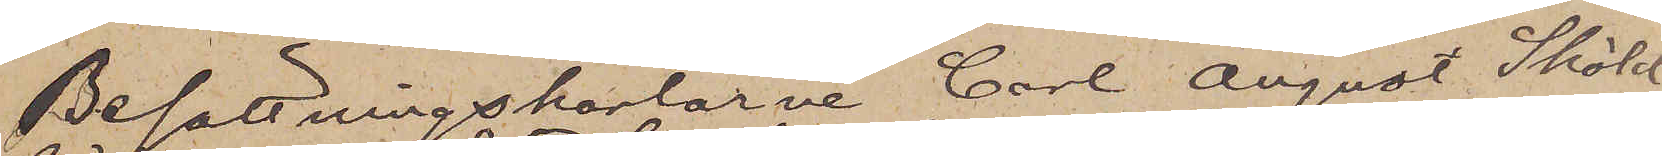Besättningskarlarne Carl August Sköld,
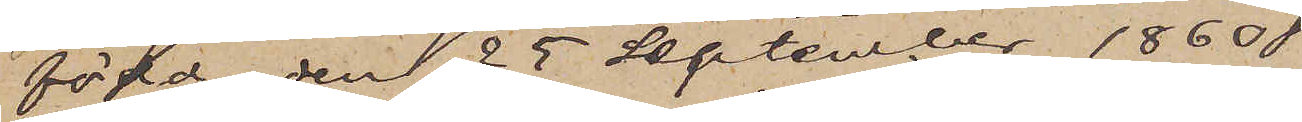född den 25 September 1860
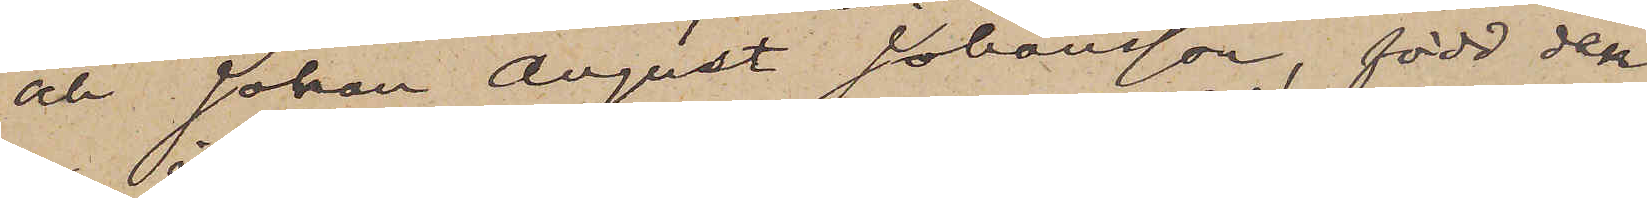och Johan August Johansson, född den
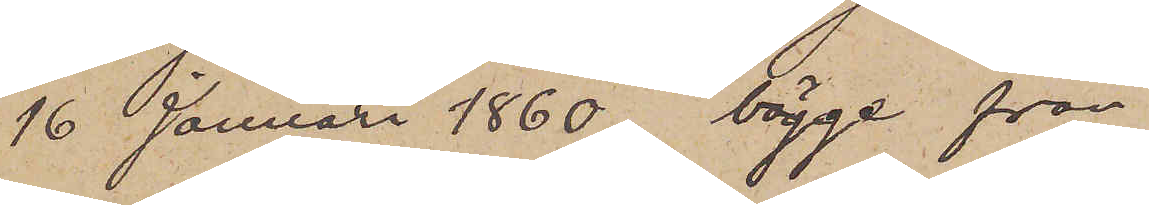16 Januari 1860, bägge från
